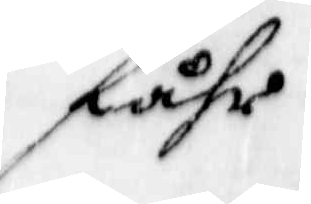fåhr
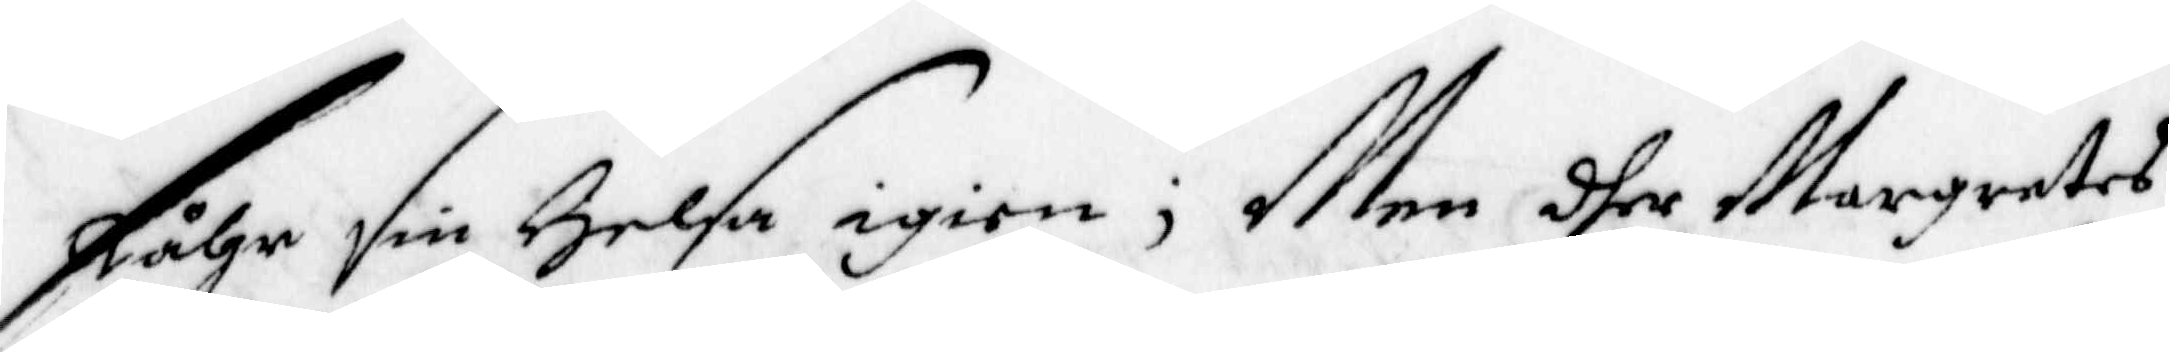fåhr sin Helsa igien; Men dher Margretes
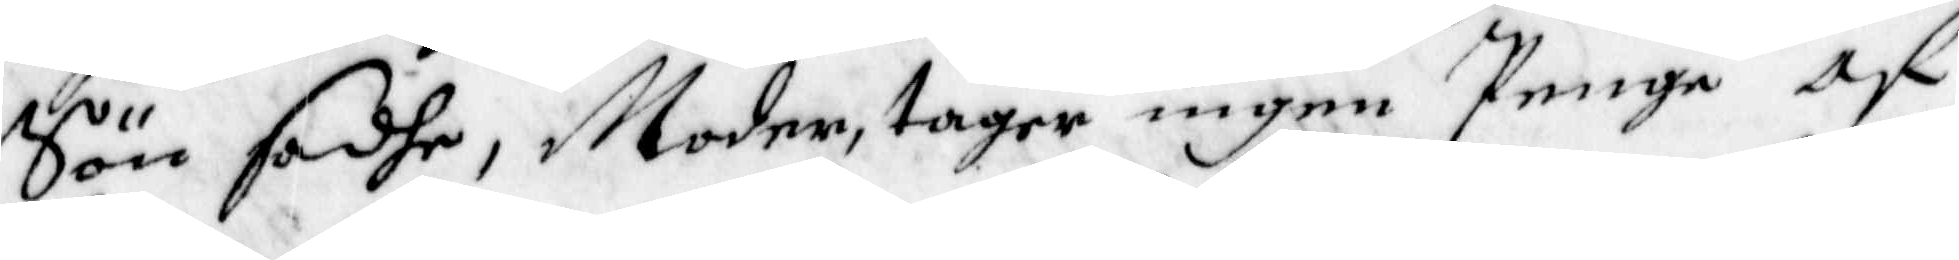Sön sadhe, Moder, tager ingen Penge af
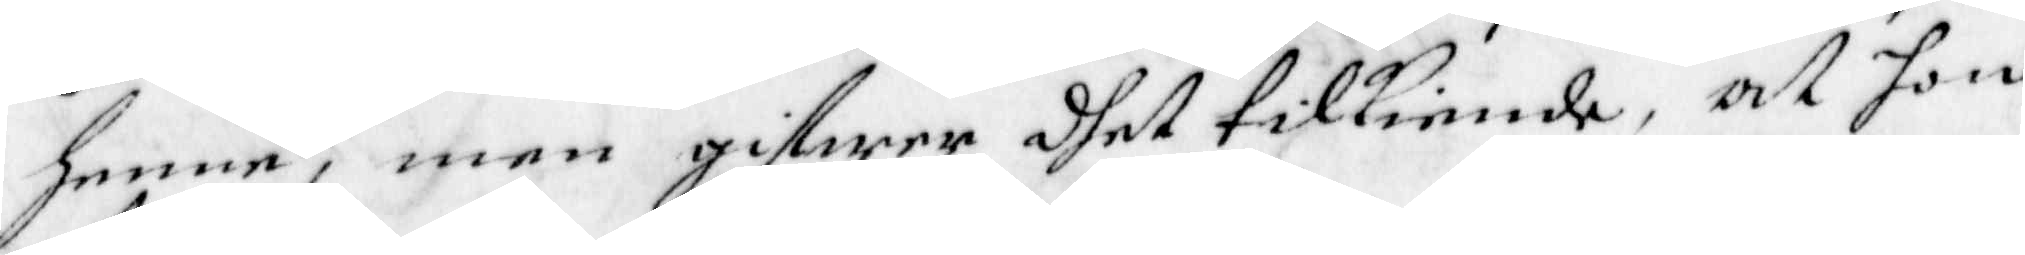henne, men gifwer dhet tillkiende, at hon
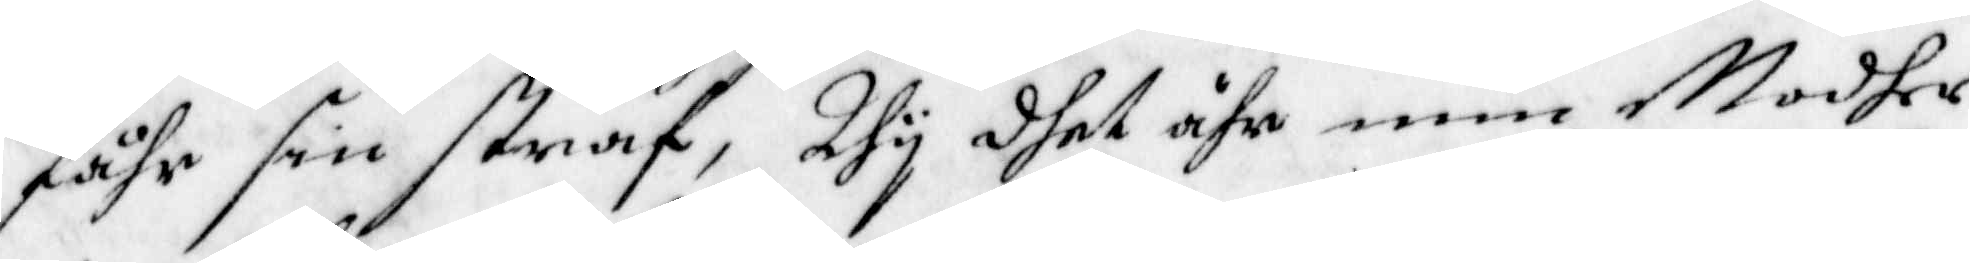fåhr sin straf, Thy dhet ähr min Modher
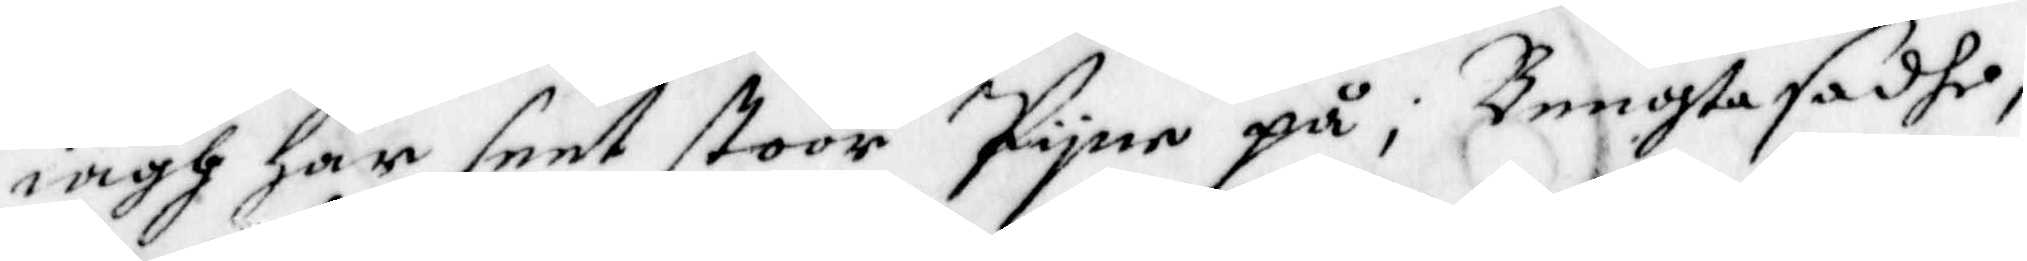iagh har seet stoor pyne på;nBengta sadhe,
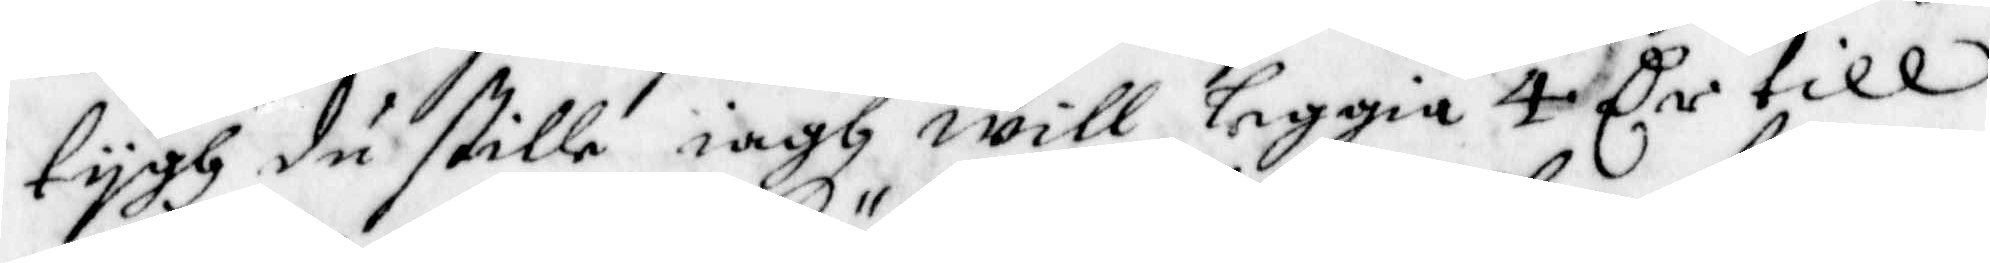tygh du stille iagh will leggia 4 Cr till
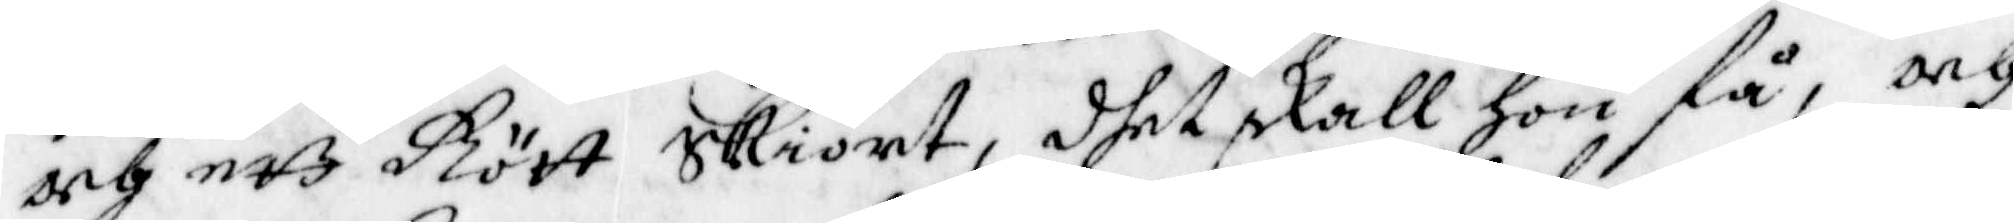och ett Rört skiört, dhet skall hon få, och
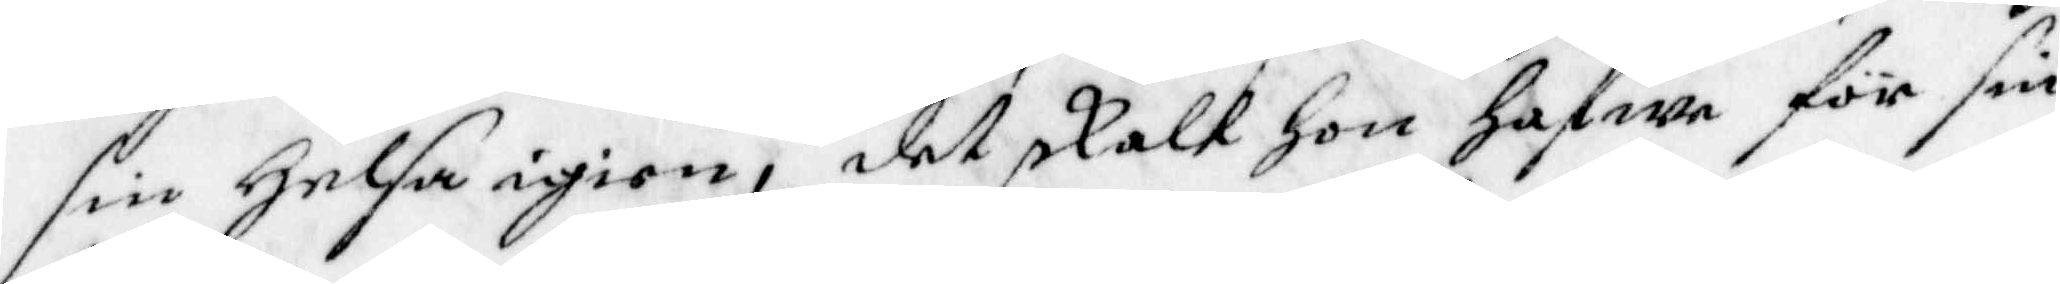sin Helsa igien, det skalt hon hafwa för sin
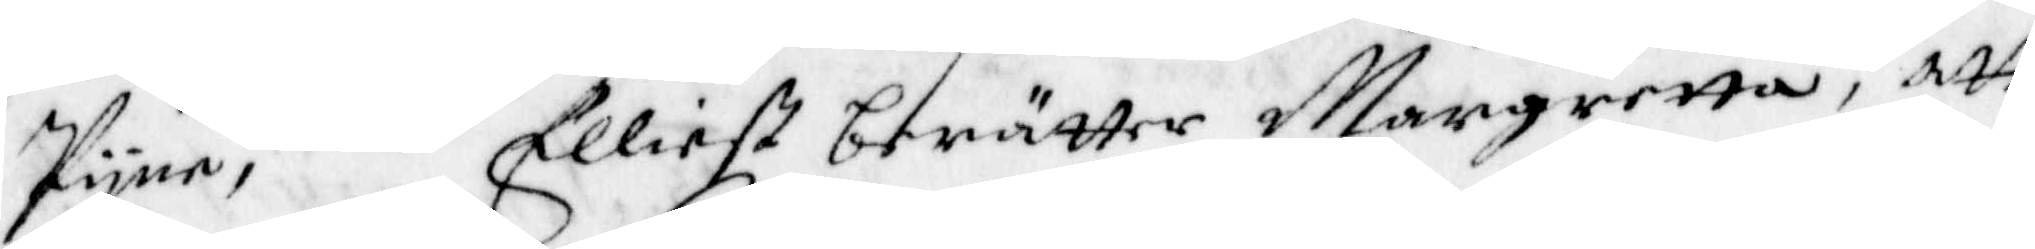Pyne; Elliest berätter Margretta, att
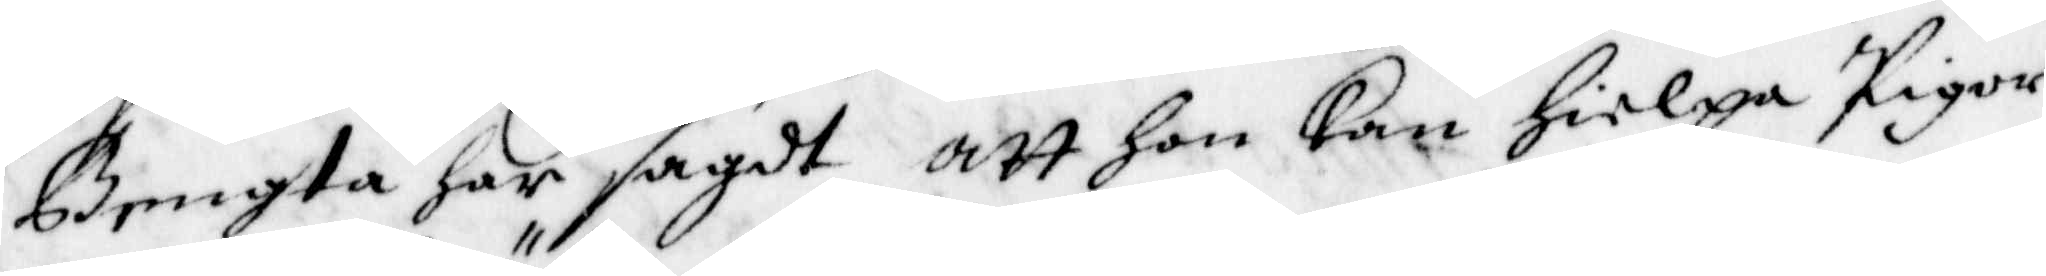Bengta har sagdt att hon kan hielpa Pigor
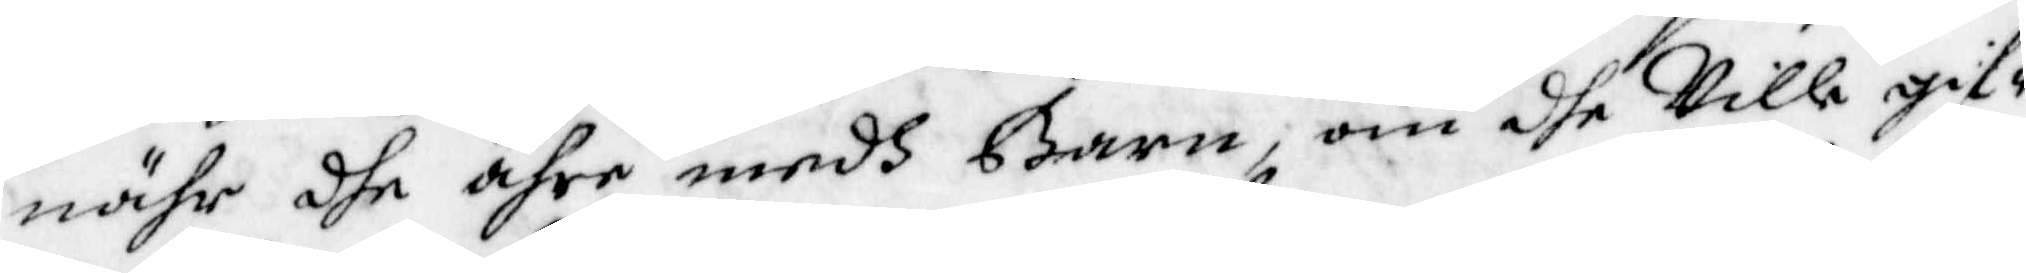nähr dhe ähre medh Barn, om dhe Ville gif¬
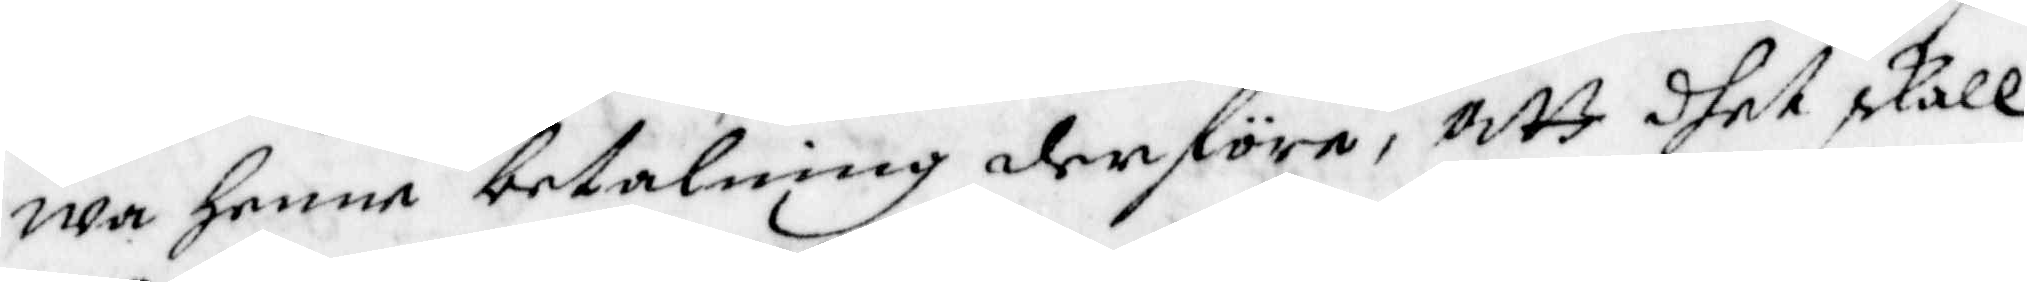wa henne betalning derföre, att dhet skall
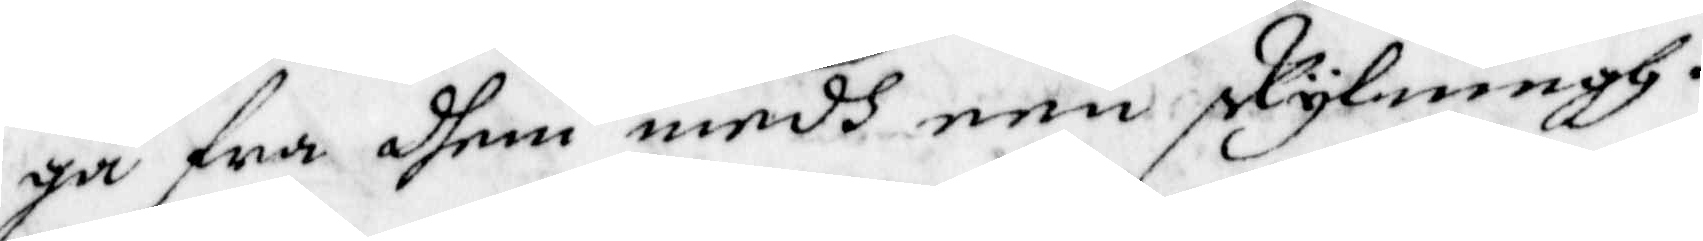gå fra dhem medh een skylningh.
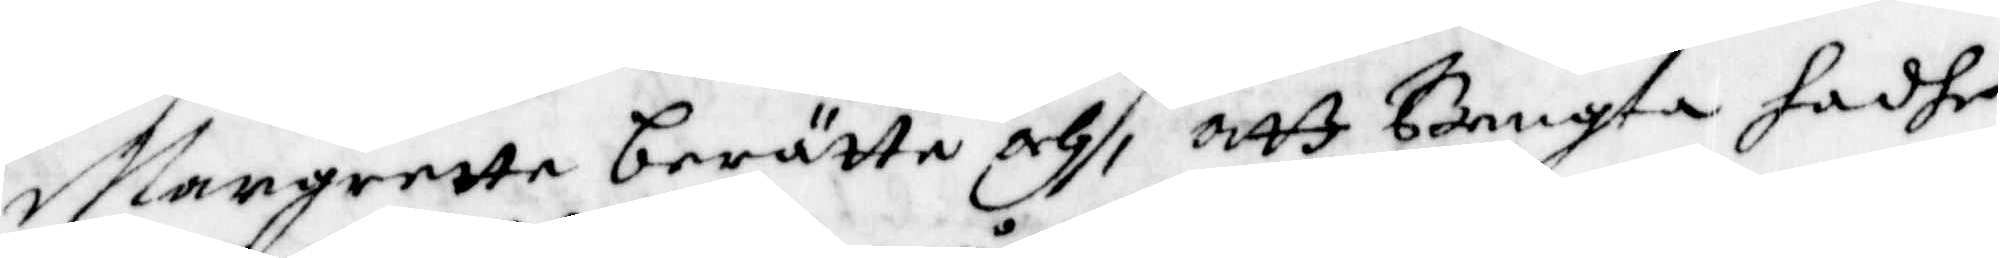Margrette berätta och, att Bengta hadhe
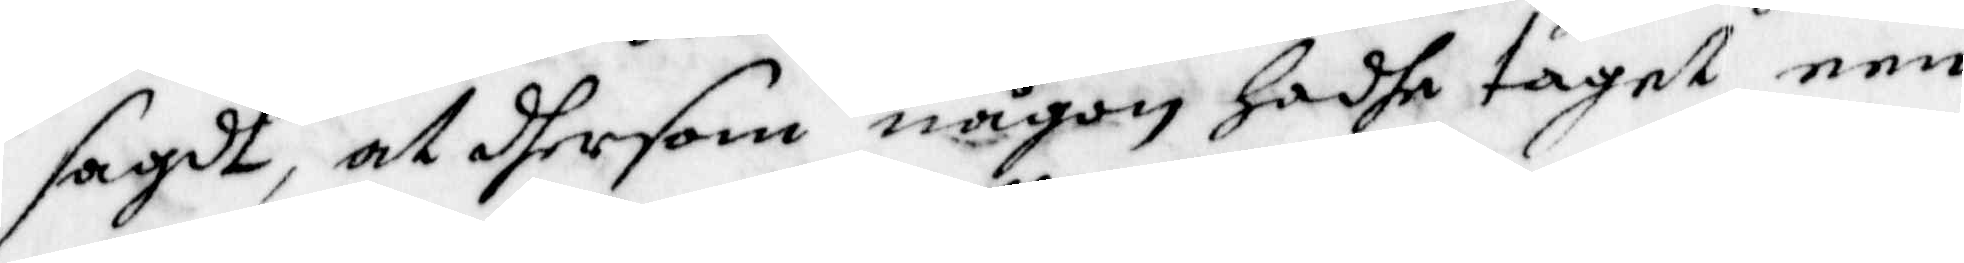sagdt, at dhersom någon hadhe taget een
